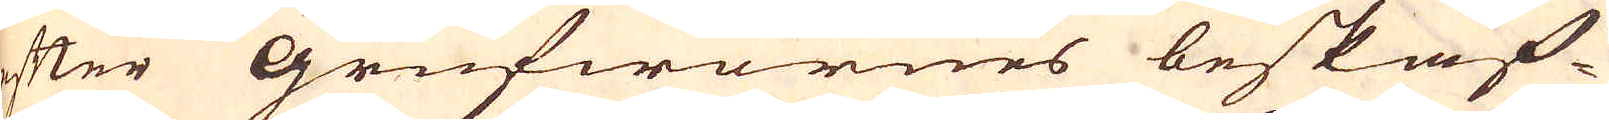efter Grufwornes beskaf-
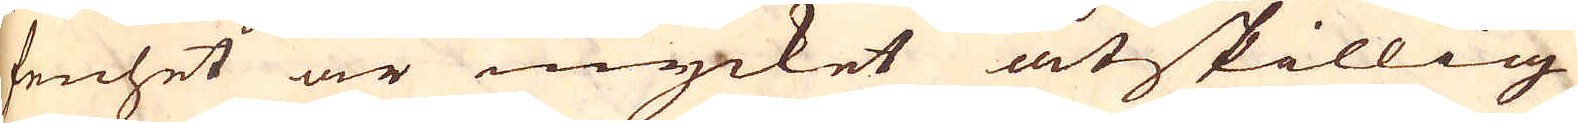fenhet är mycket åtskillig
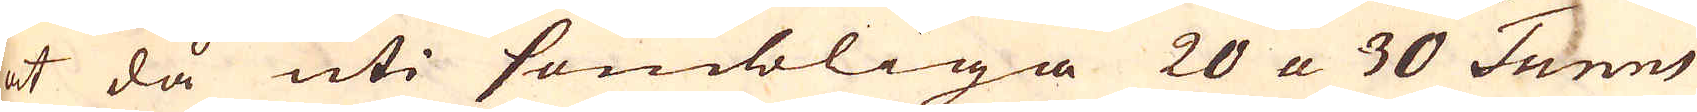at då uti sombliga 20 a 30 Tunns
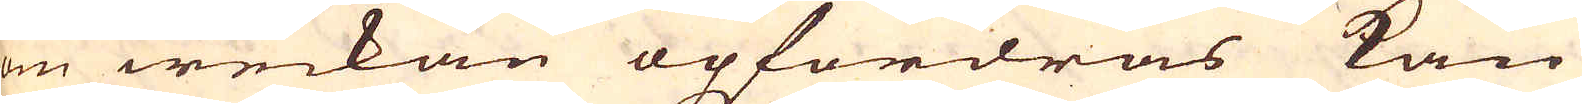om weckan opfordras kan
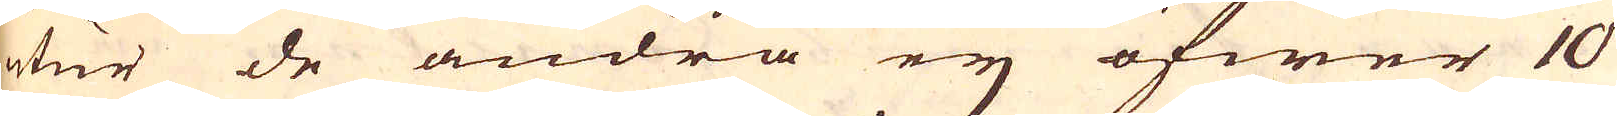utur de andra ej öfwer 10
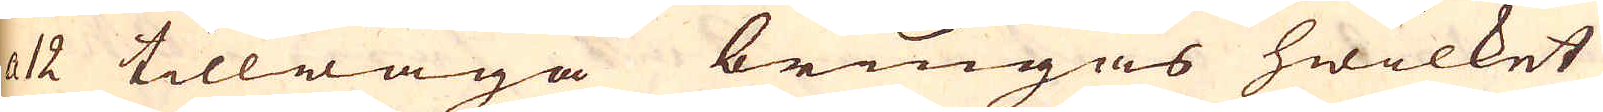a 12 tillwäga bringas hwilket
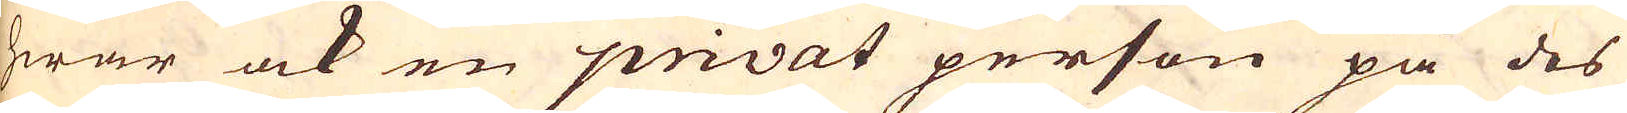hwar ock en privat person på des
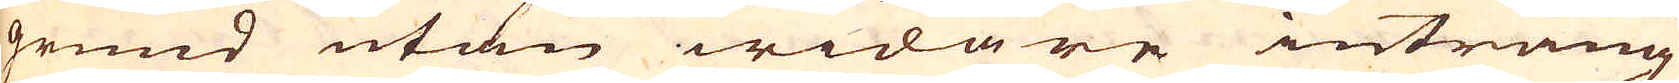grund utan widare intrång
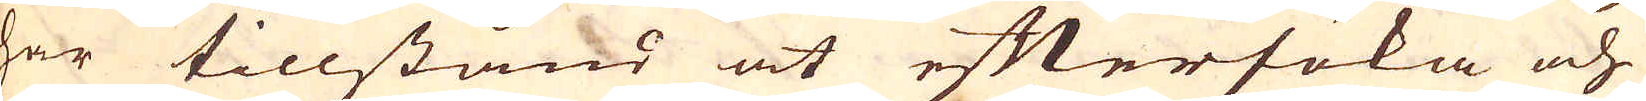har tillstånd at eftersöka och
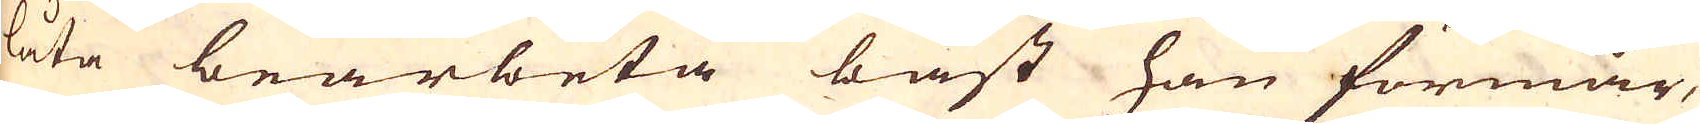låta bearbeta bäst han förmår,
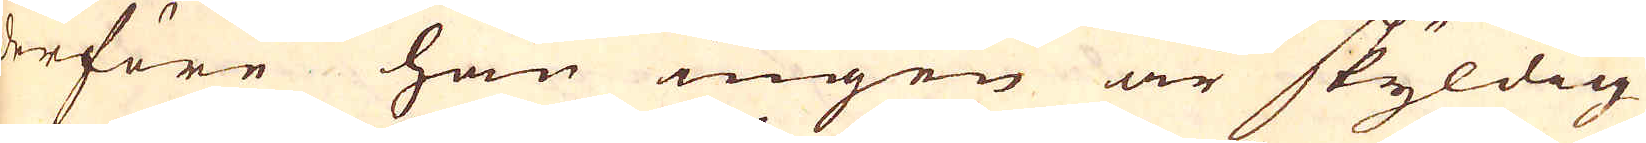derföre han ingen är skyldig
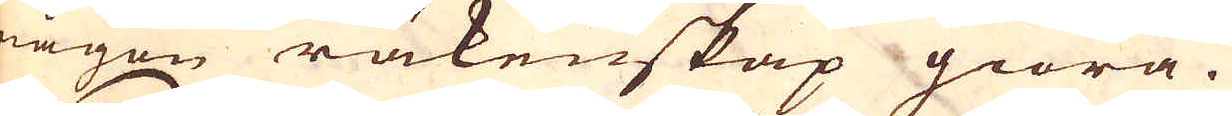någon räkenskap giöra.
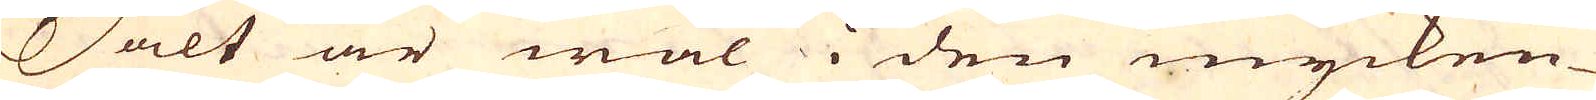Salt är wäl i den mycken-
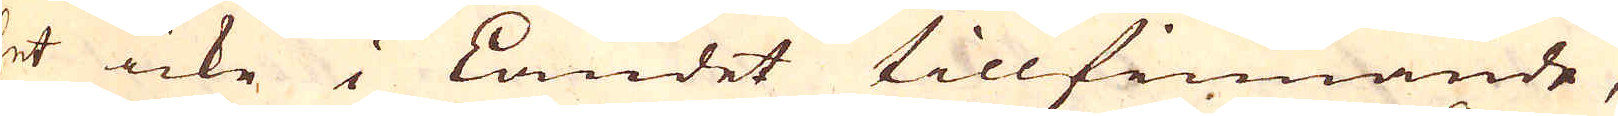het icke i Landet tillfinnande,
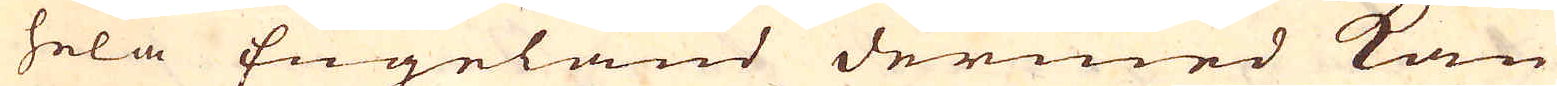at hela Engeland dermed kan
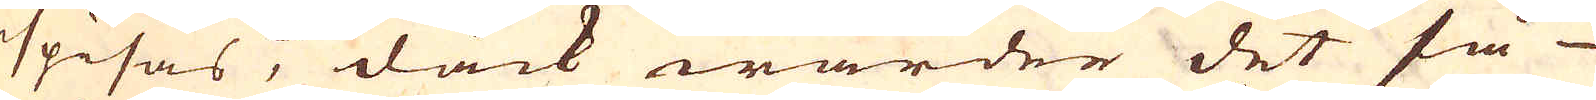spisas, dåck warder det så
